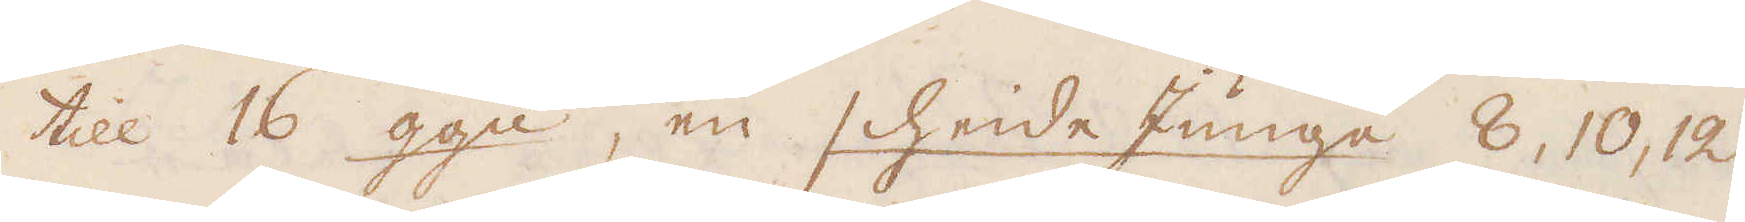till 16 ggn, en scheide Junge 8, 10, 12
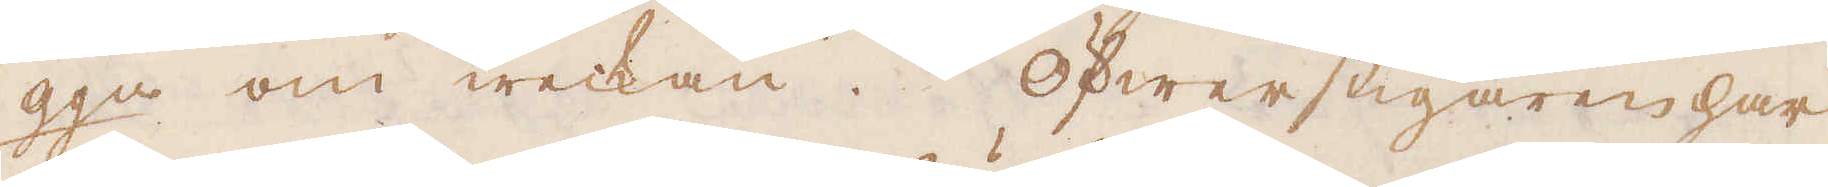ggn om weckan. Öfwerstigaren har
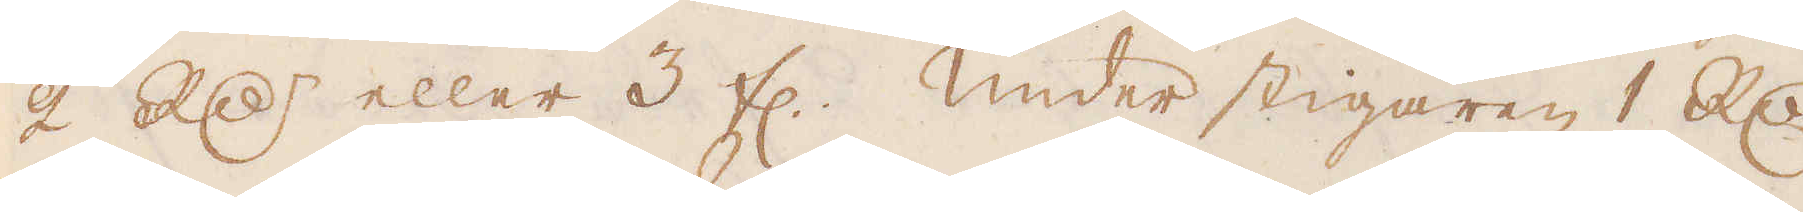2 R:dr eller 3 fl. Under stigaren 1 R:dr
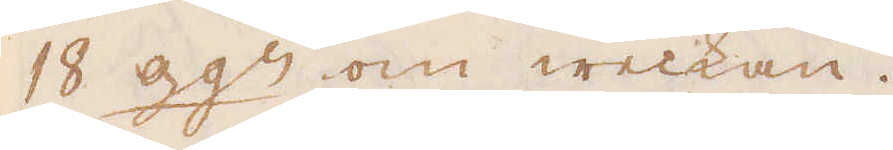18 ggr om weckan.
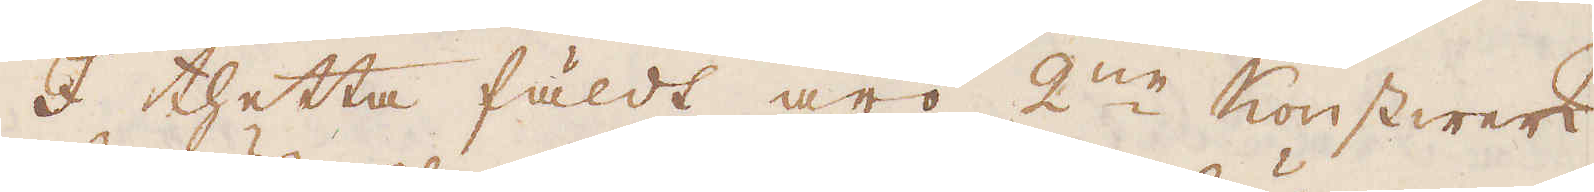I thetta fäldt äro 2:ne Konstwerk
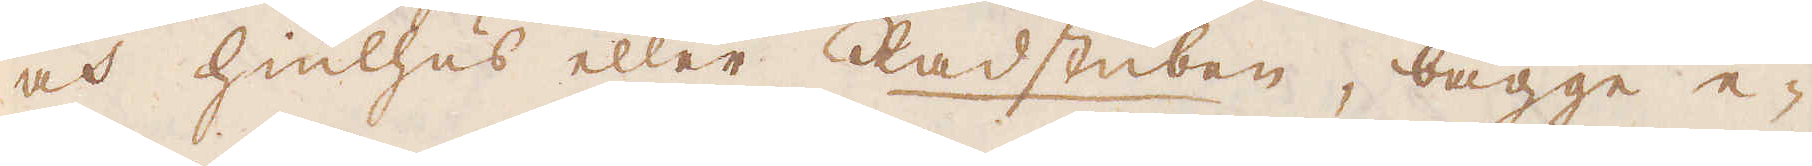och hiulhus eller Radstuben, bägge e-
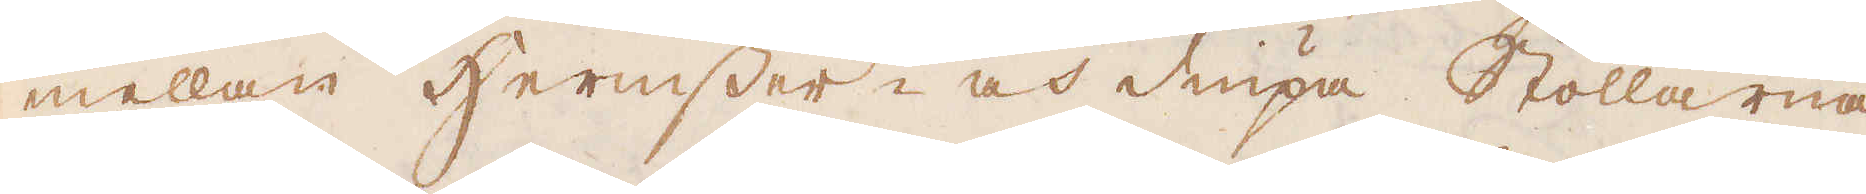mellan Hermsser- och diupa Stollarna
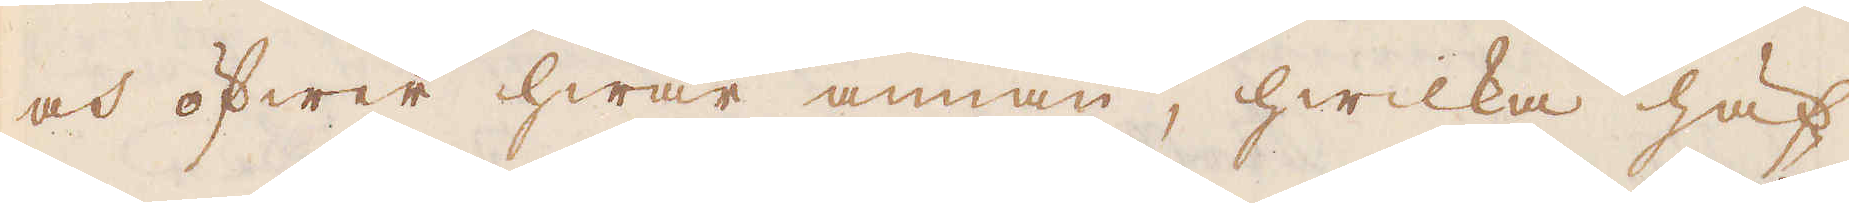och öfwer hwar annan, hwilka häf-
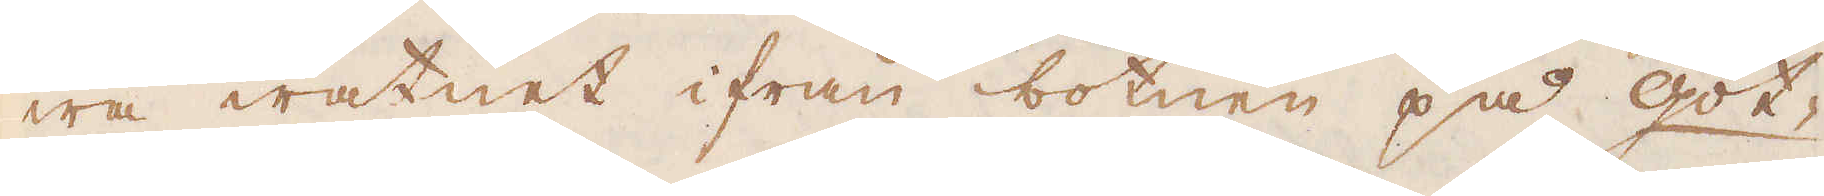wa watnet ifrån botnen på got-
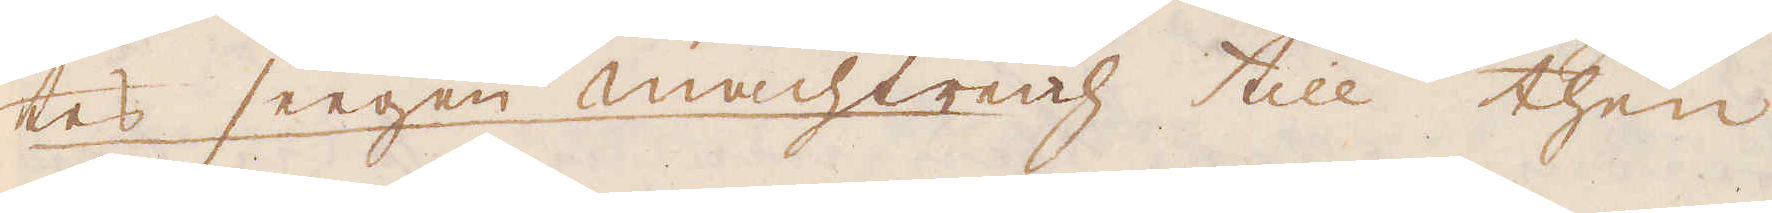tes seegen machtrich till then
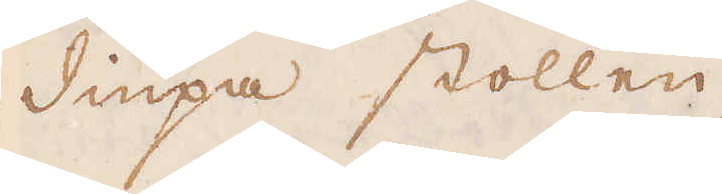diupa stollen.
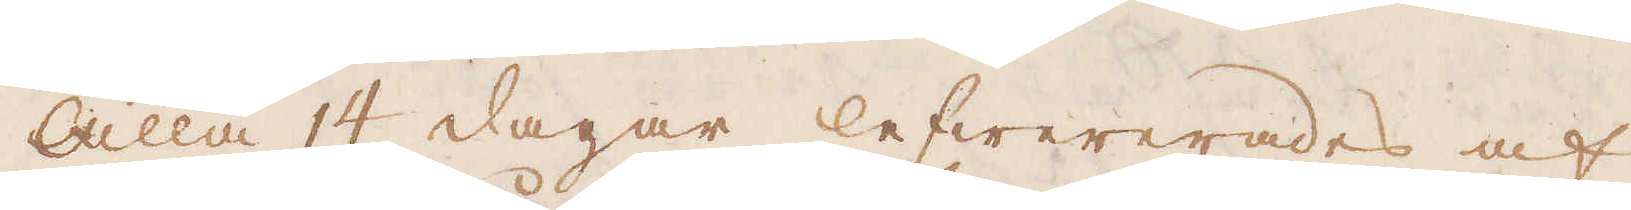Alla 14 dagar lefwererades af
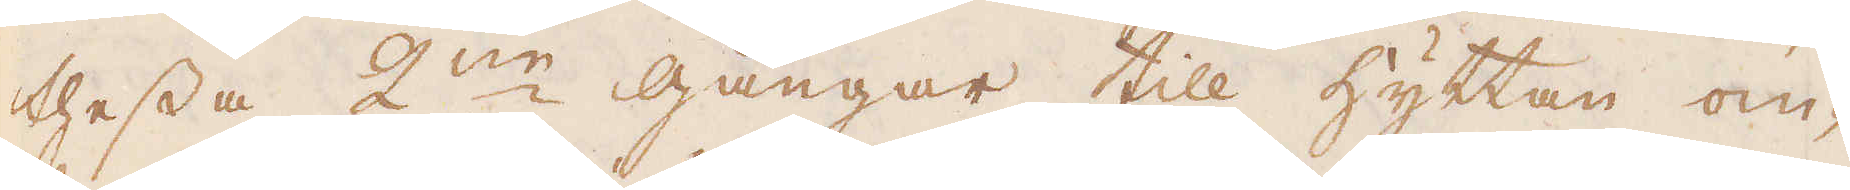thessa 2ne gångar till hyttan om-
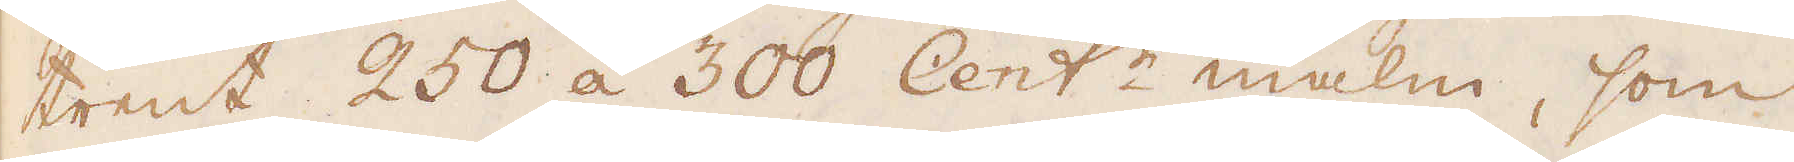trent 250 á 300 Cent:r malm, som
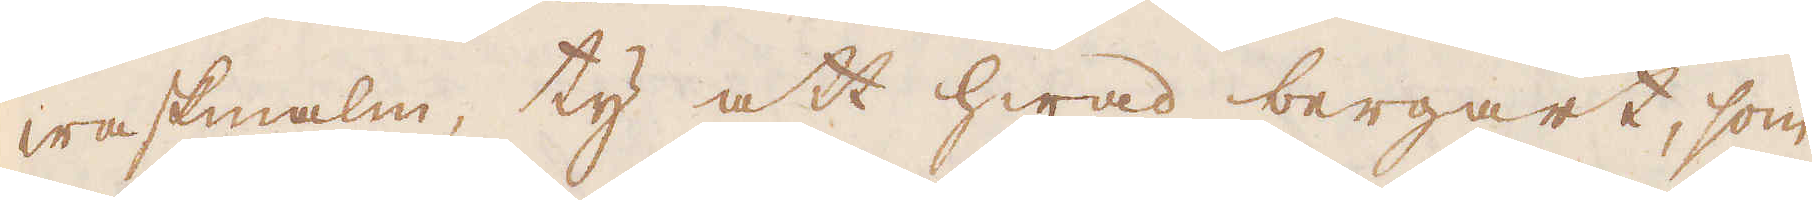waskmalm, ty att hwad bergart, som
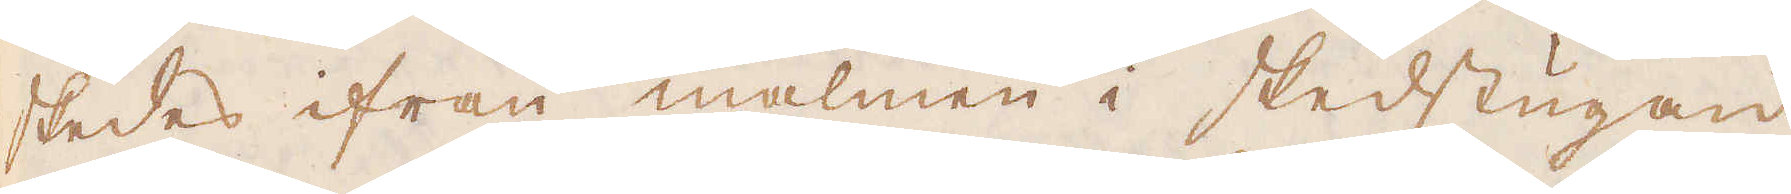skedes ifrån malmen i skedstugan
